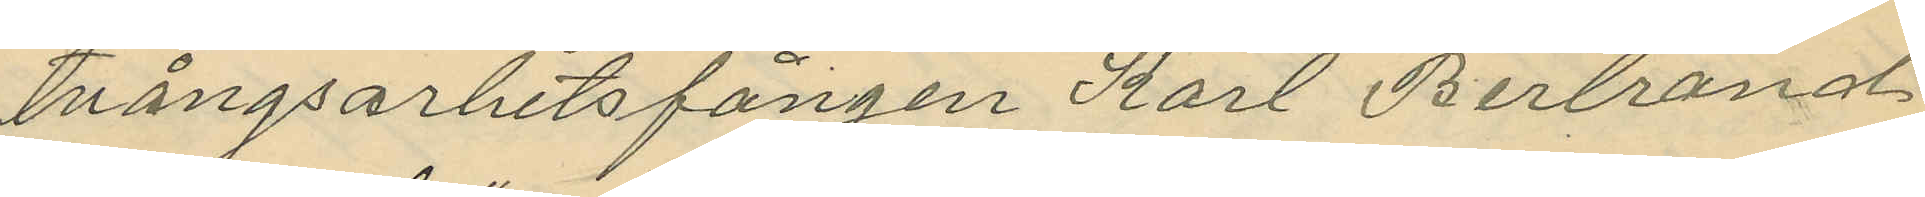tvångsarbetsfången Karl Bertrand
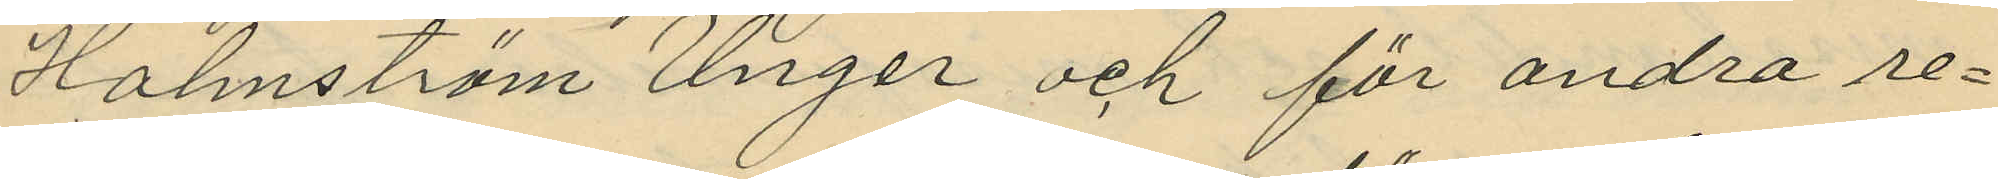Holmström Unger och för andra re¬
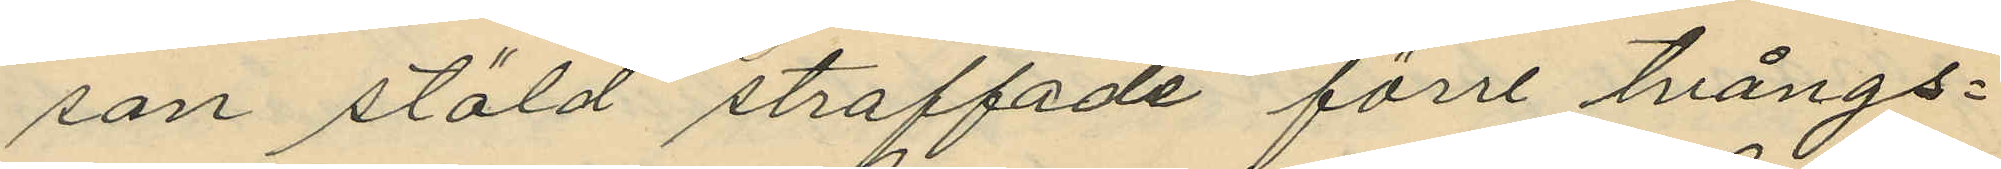san stöld straffade förre tvångs¬
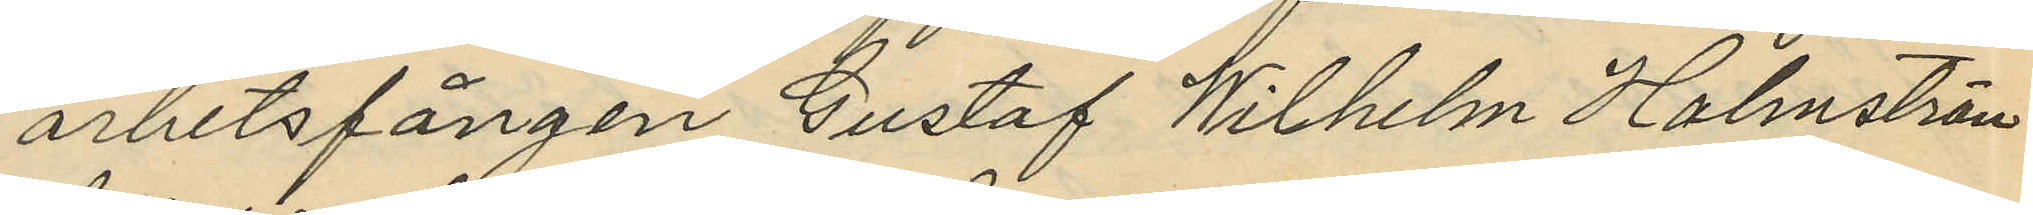arbetsfången Gustaf Wilhelm Holmström
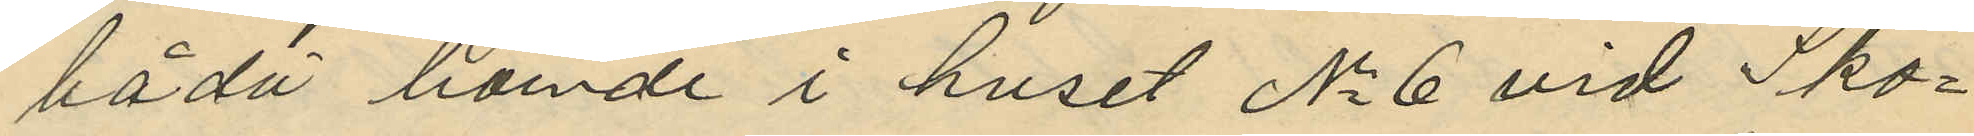båda boende i huset No 6 vid Sko¬
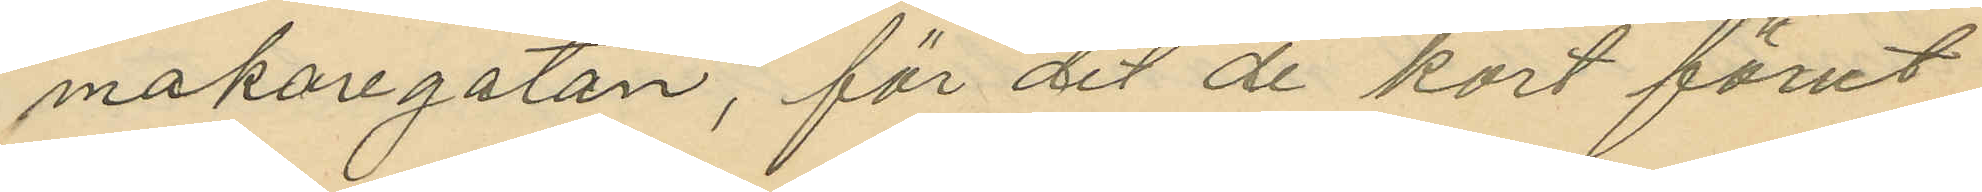makaregatan, för det de kort förut
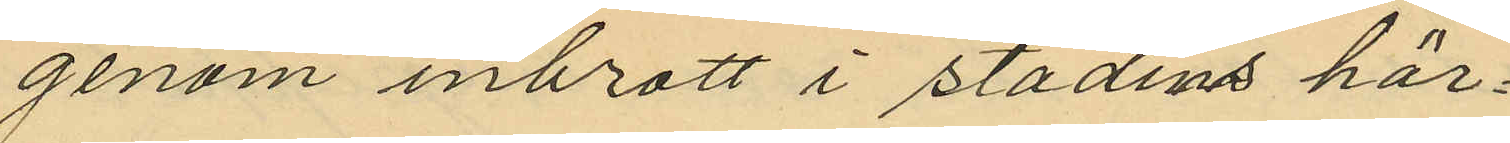genom inbrott i stadens här¬
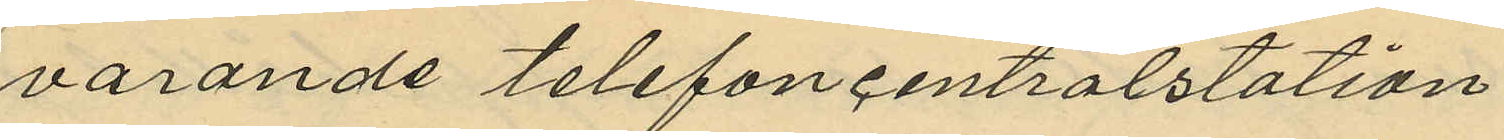varande telefoncentralstation
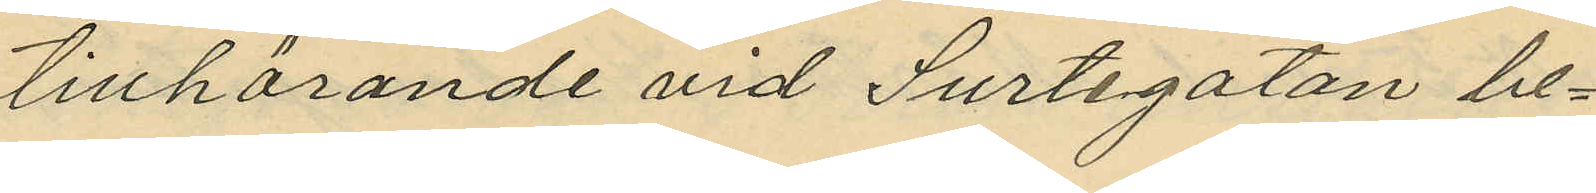tillhörande vid Surtegatan be¬
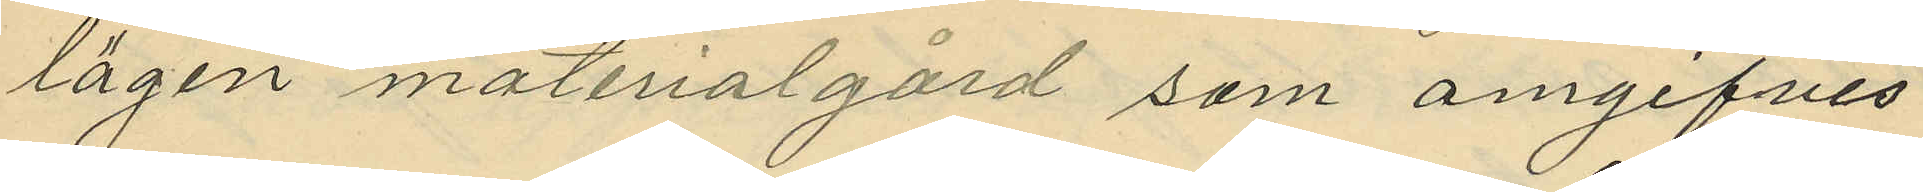lägen materialgård som omgifves
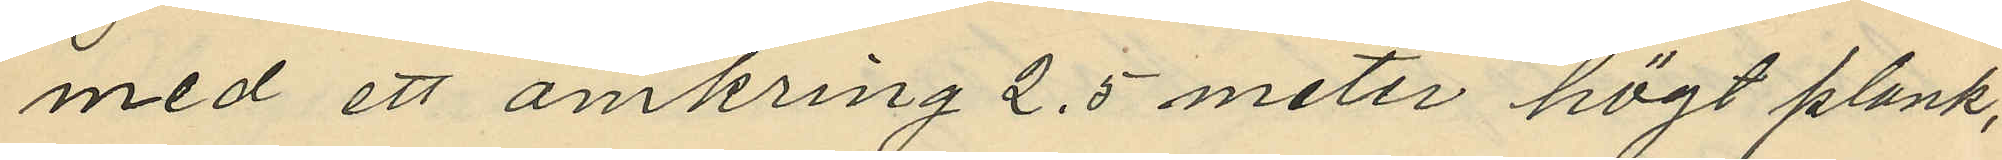med ett omkring 2,5 meter högt plank,
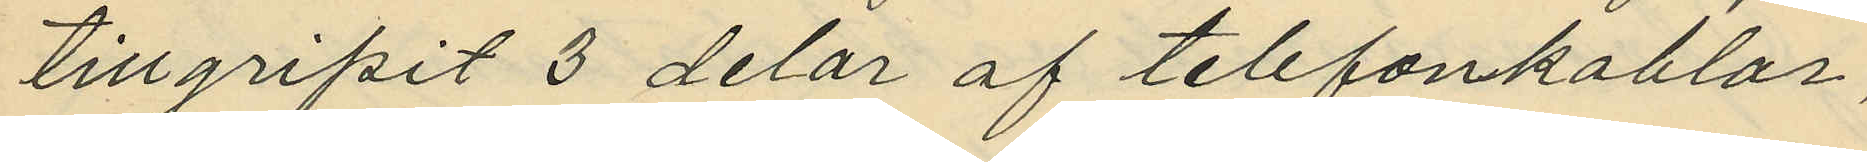tillgripit 3 delar af telefonkablar,
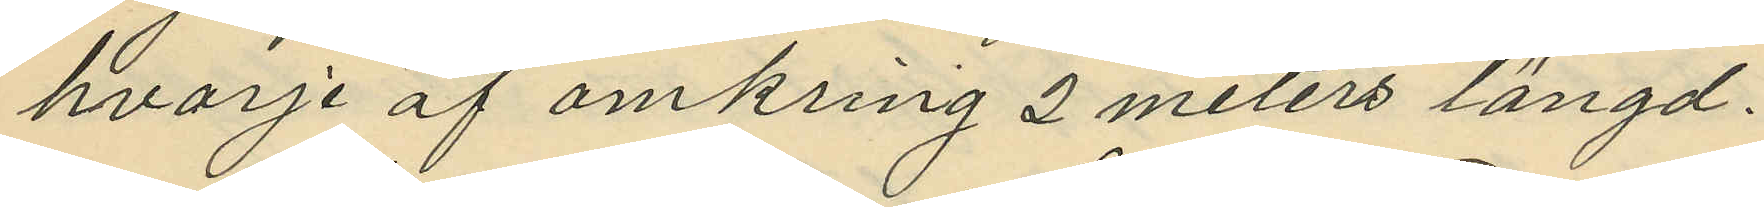hvarje af omkring 2 meters längd.
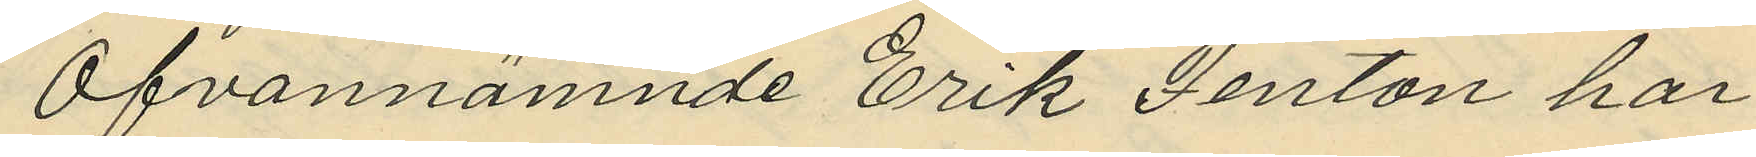Ofvannämnde Erik Fenton har
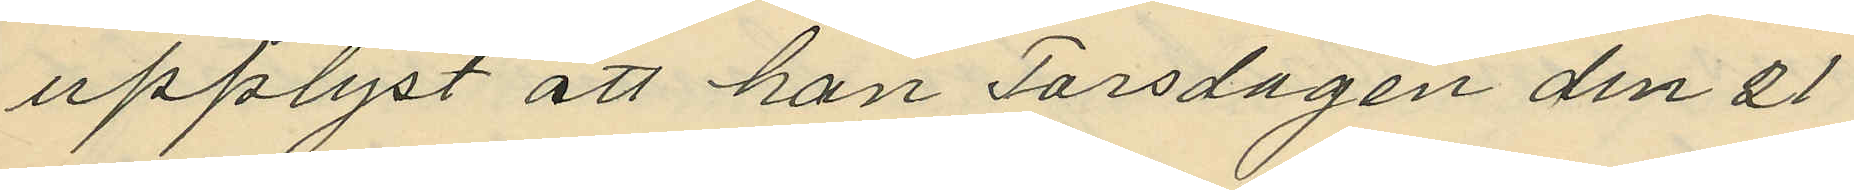upplyst att han Torsdagen den 21
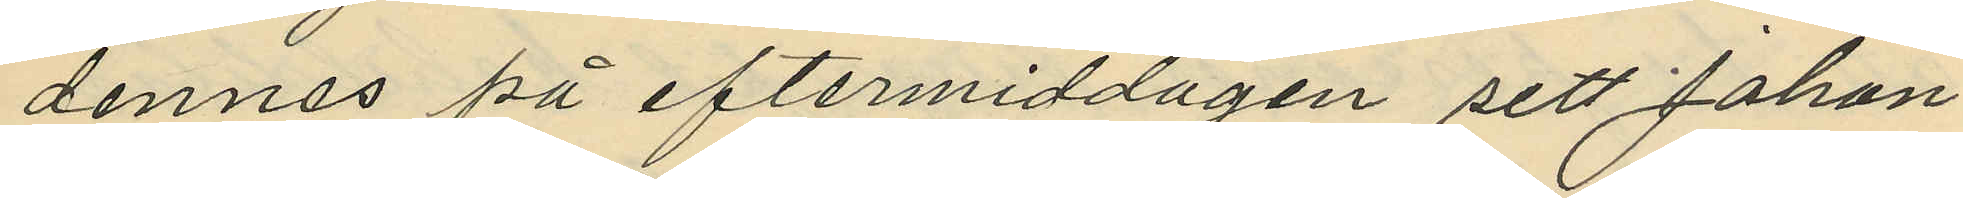dennes på eftermiddagen sett Johan
